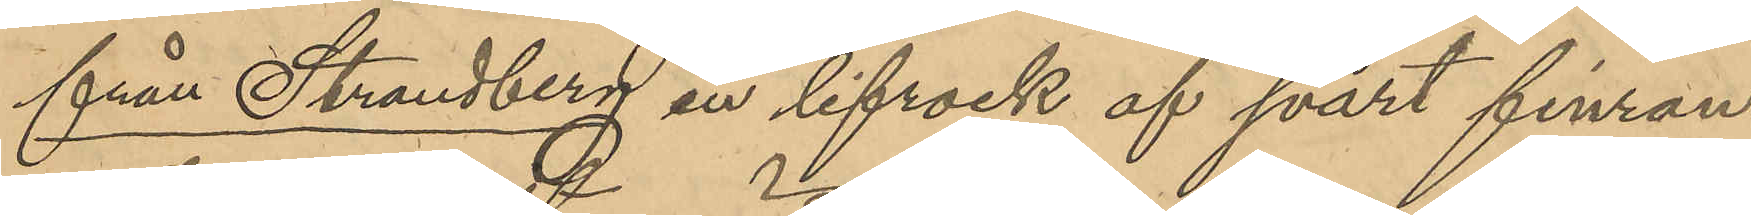från Strandberg en lifrock af svart finran¬
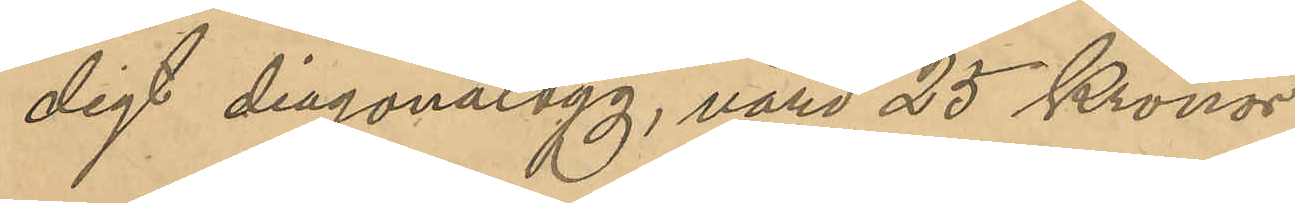digt diagonaltyg, värd 25 Kronor;
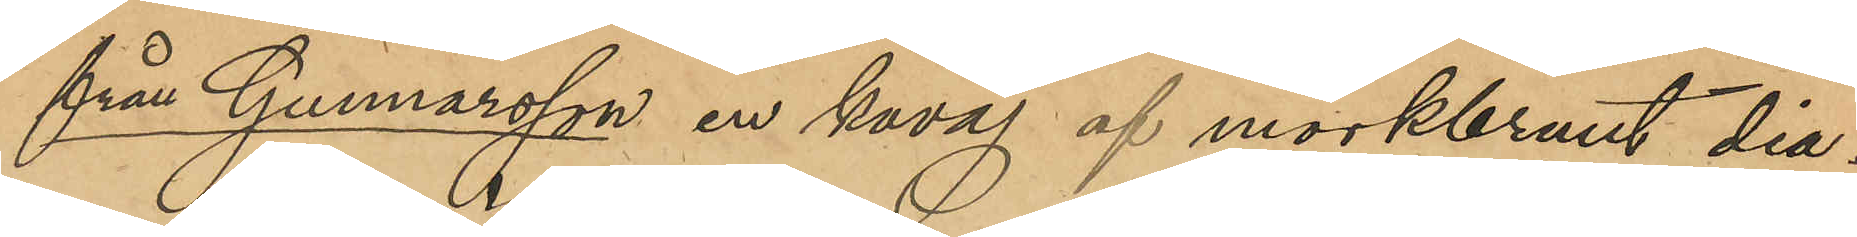från Gunnarsson en kavaj af mörkbrunt dia¬
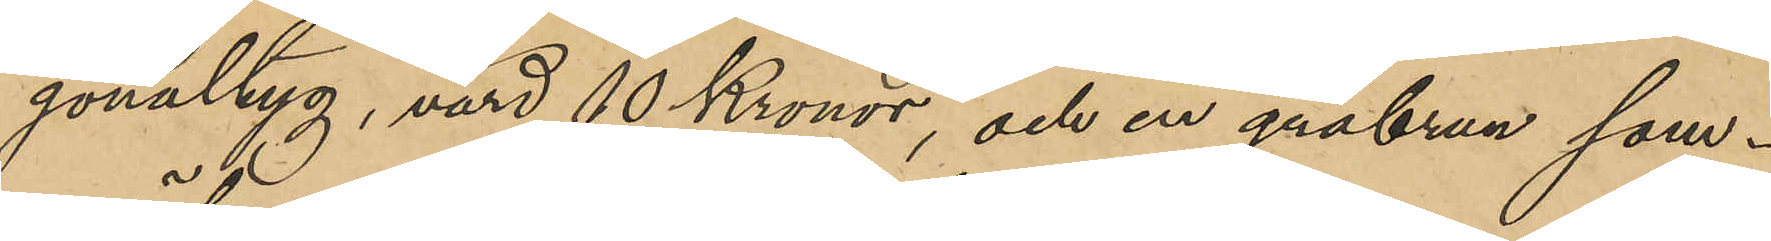gonaltyg, värd 10 Kronor, och en gråbrun som¬
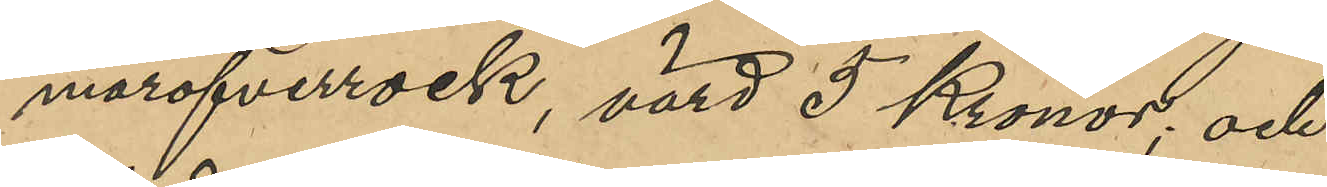maröfverrock, värd 5 Kronor; och
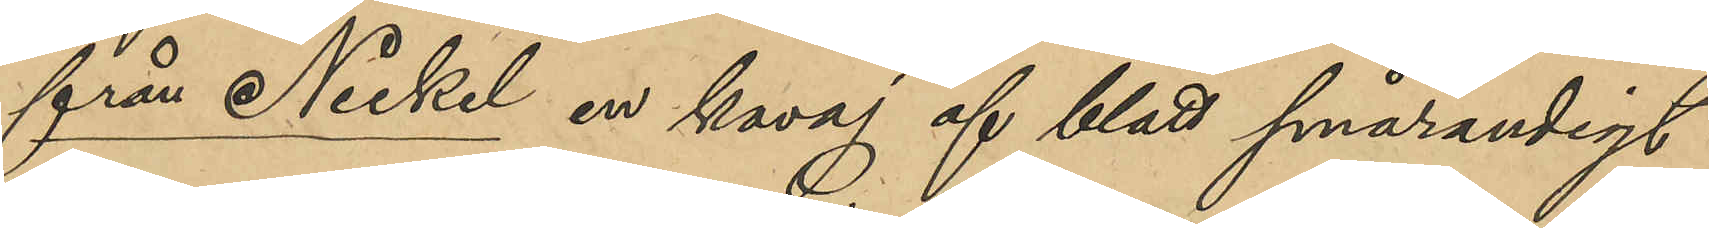från Nickel en kavaj af blått smårandigt
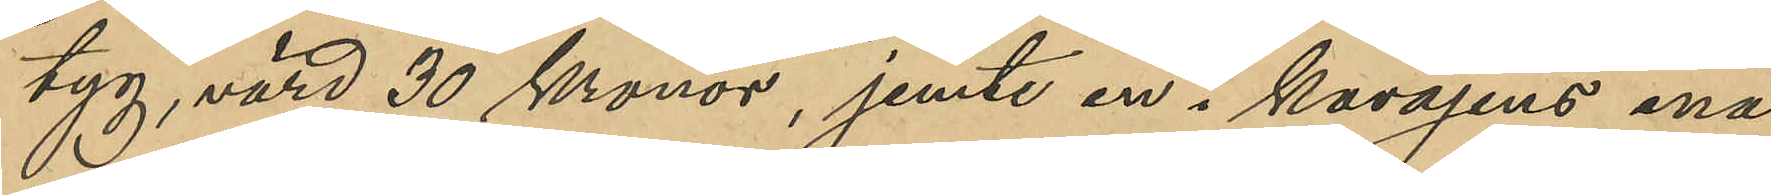tyg, värd 30 Kronor, jemte en i kavajens ena
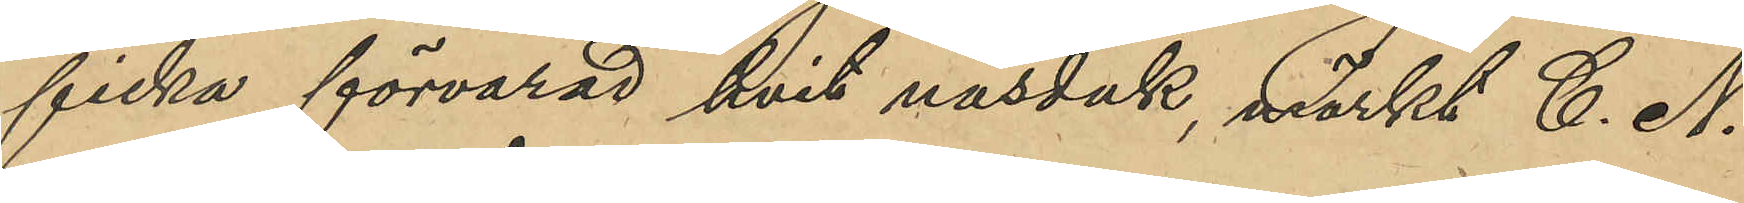ficka förvarad hvit näsduk, märkt C. N.
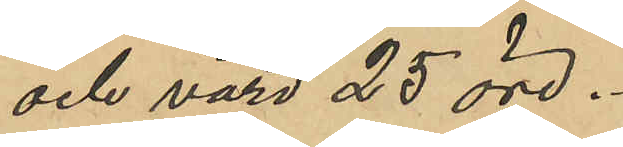och värd 25 öre.
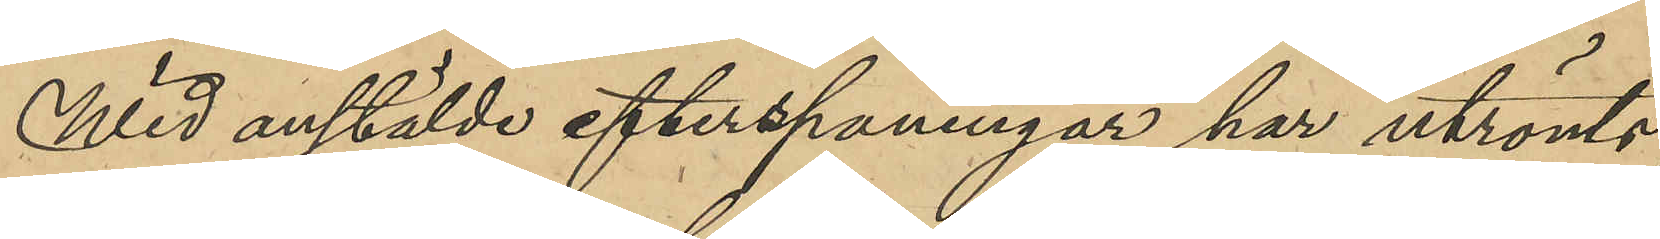Wid anstälde efterspaningar har utrönts,
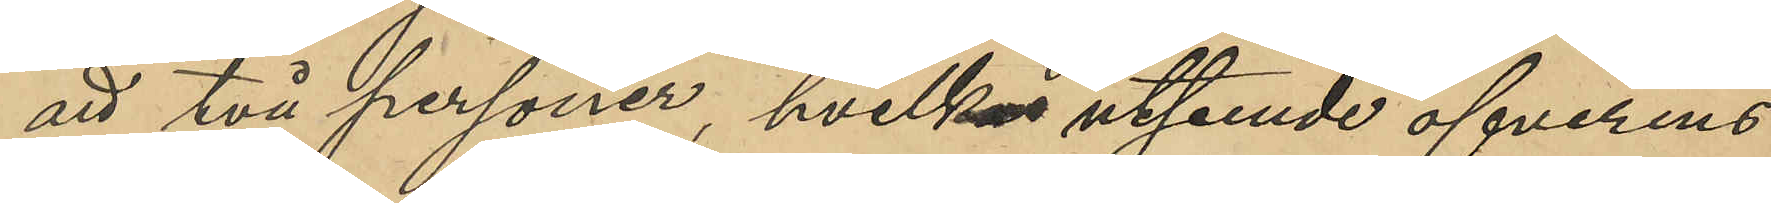att två personer, hvilkas utseende öfverens¬
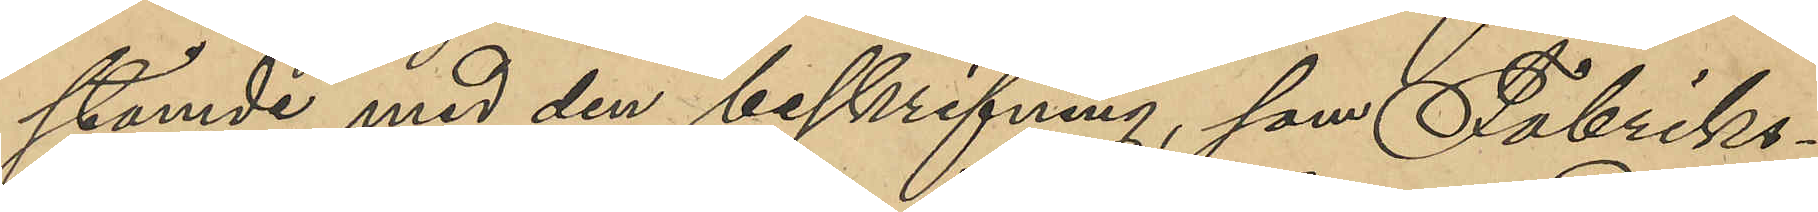stämde med den beskrifning, som Fabriks¬
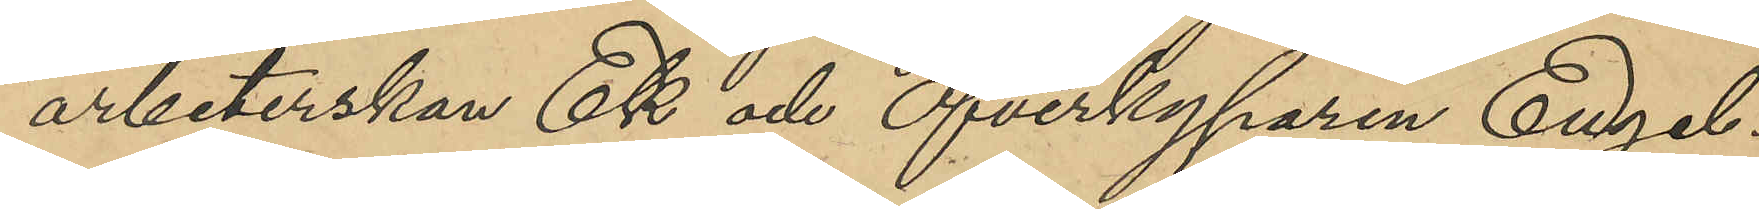arbeterskan Ek och Öfverkyparen Engel¬
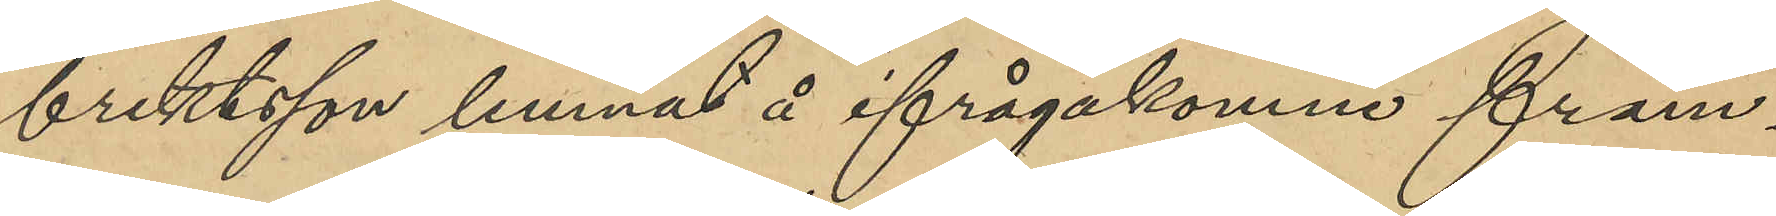brektsson lemnat å ifrågakomne främ¬
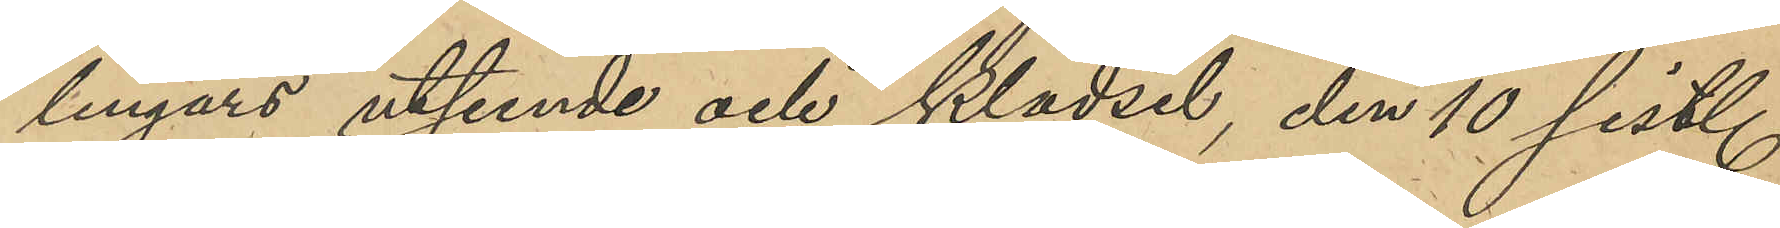lingars utseende och klädsel, den 10 sist.
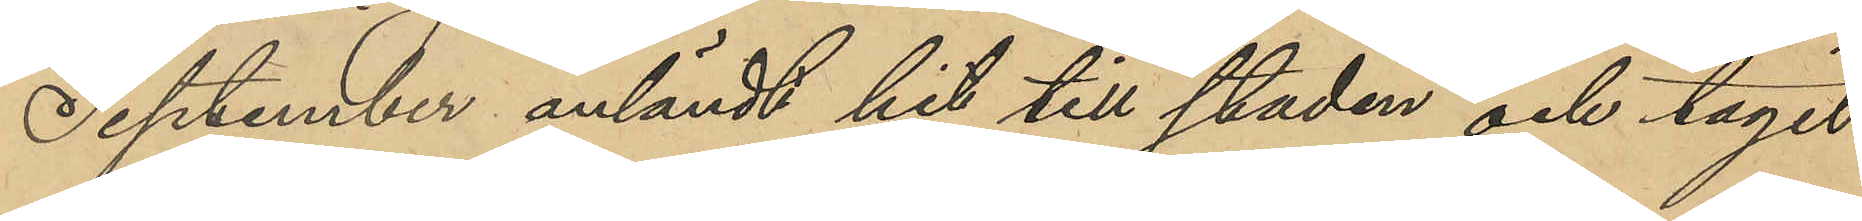September anländt hit till staden och tagit
